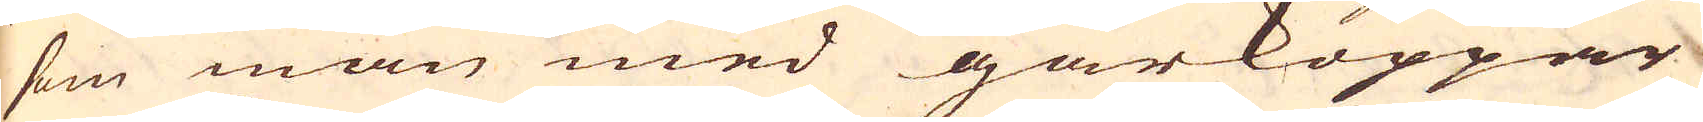som man med gårkoppar
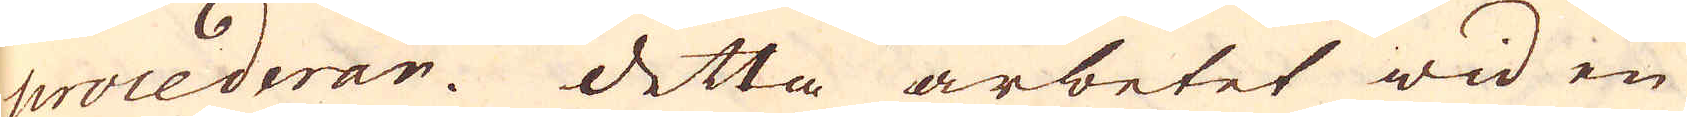procederar. Detta arbetet wid en
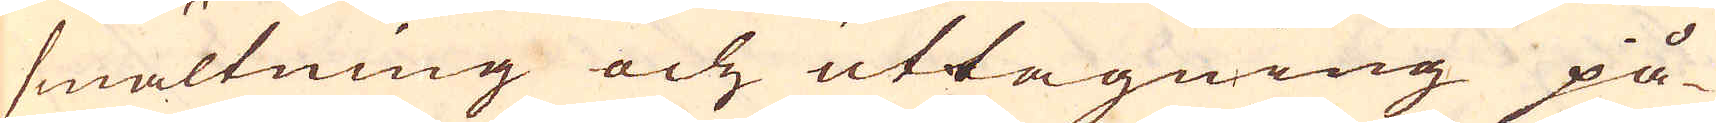smältning och uttagning på-
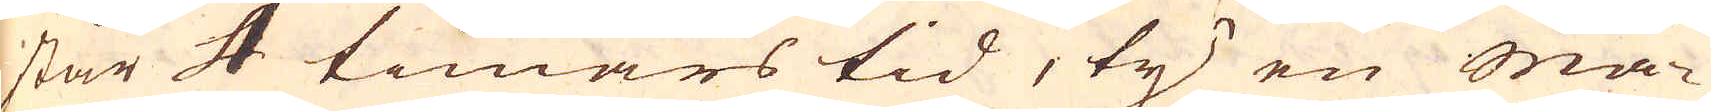står 4 timmars tid, ty en Mä-
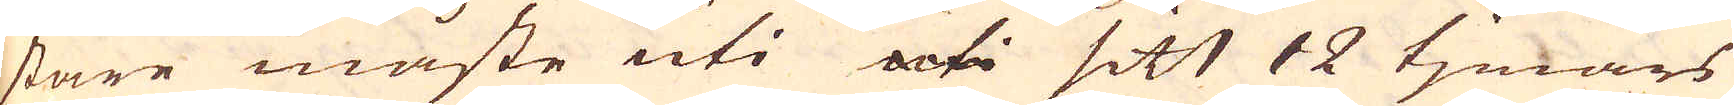stare måste uti sitt 12 tjmars
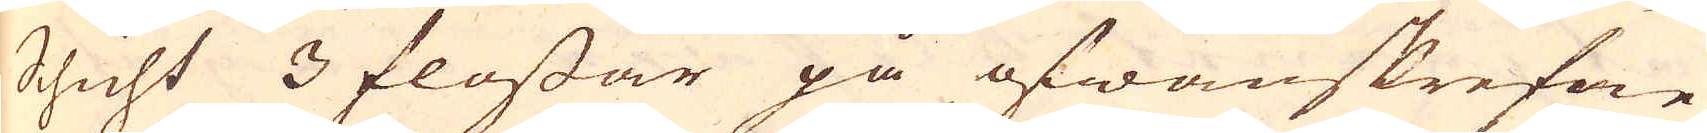Schicht 3 flossar på ofwanskrefne
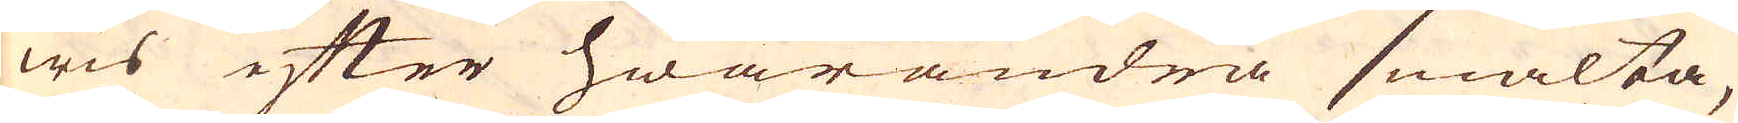wis efter hwarandra smälta,
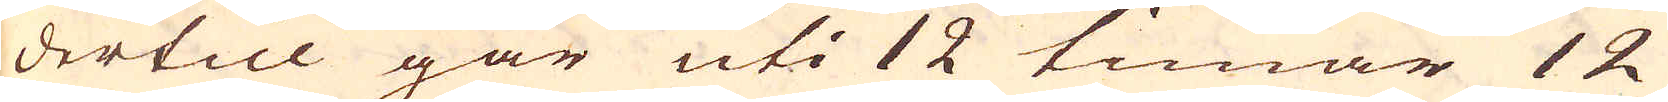dertill går uti 12 timar 12
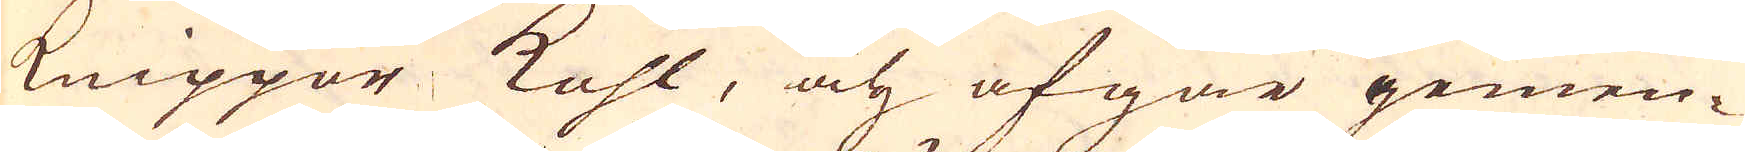knippor kohl, och afgår gemen-
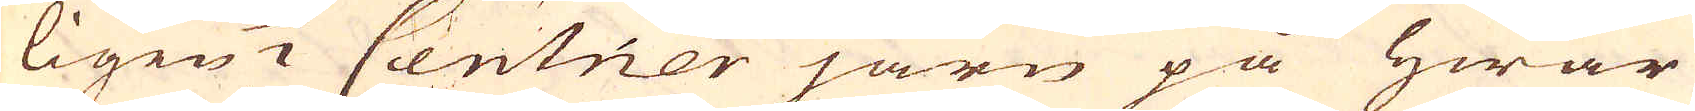ligen 1/2 Centner järn på hwar
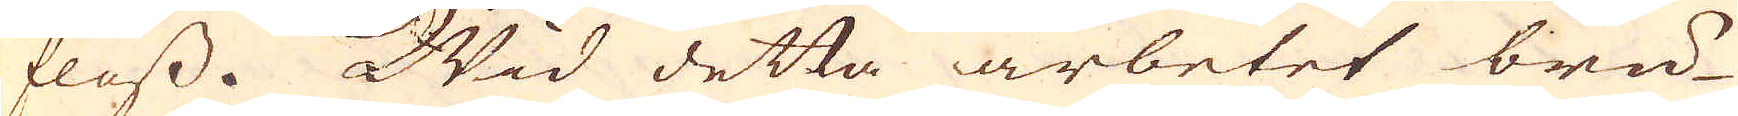floss. Wid detta arbetet bru-
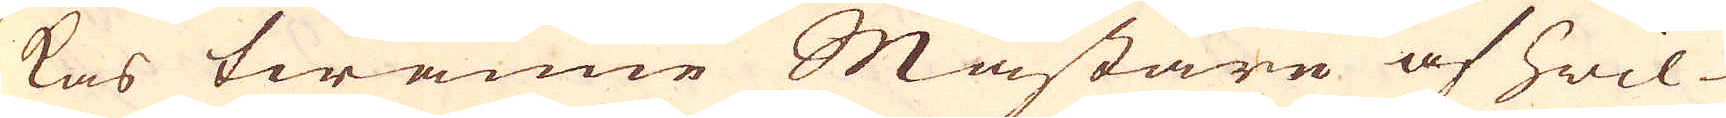kas twänne Mästare af hwil-
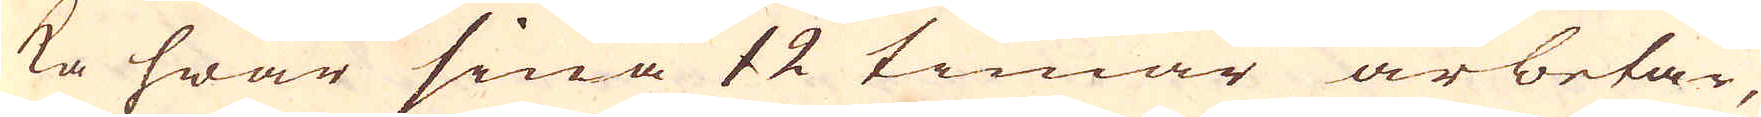ka hwar sina 12 timar arbetar,
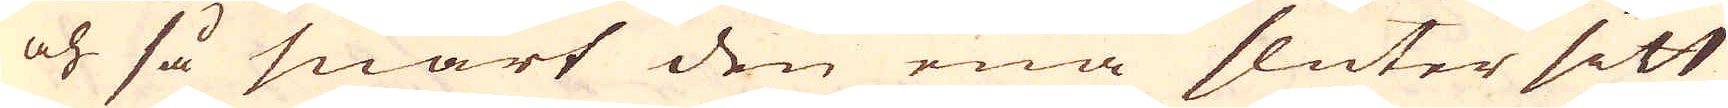och så snart den ena sluter sitt
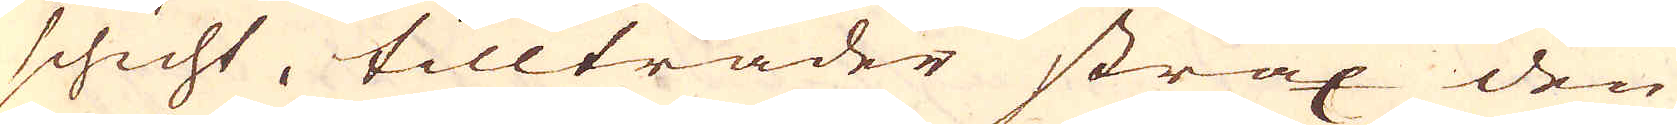schicht, tillträder strax den
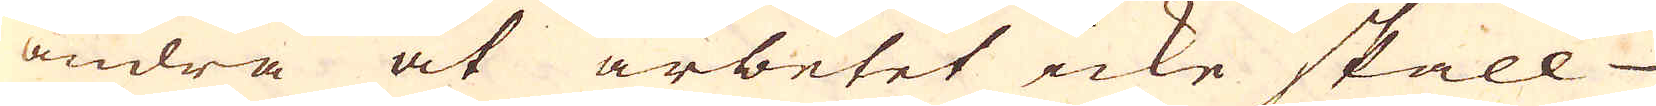andra at arbetet icke skall
